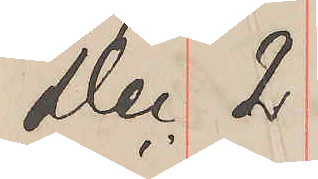Dec. 2
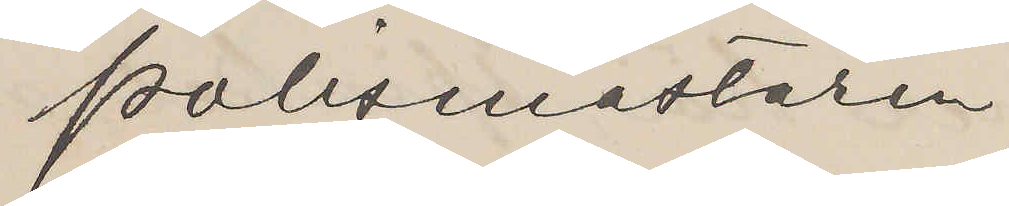Polismästaren
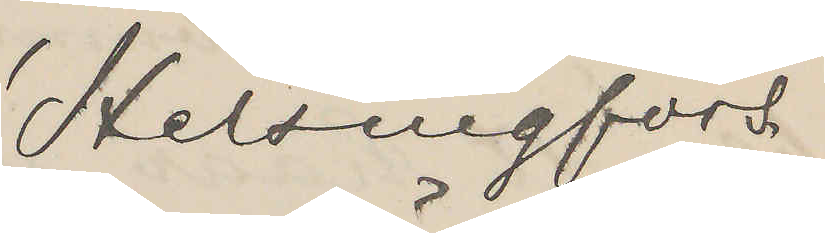Helsingfors.
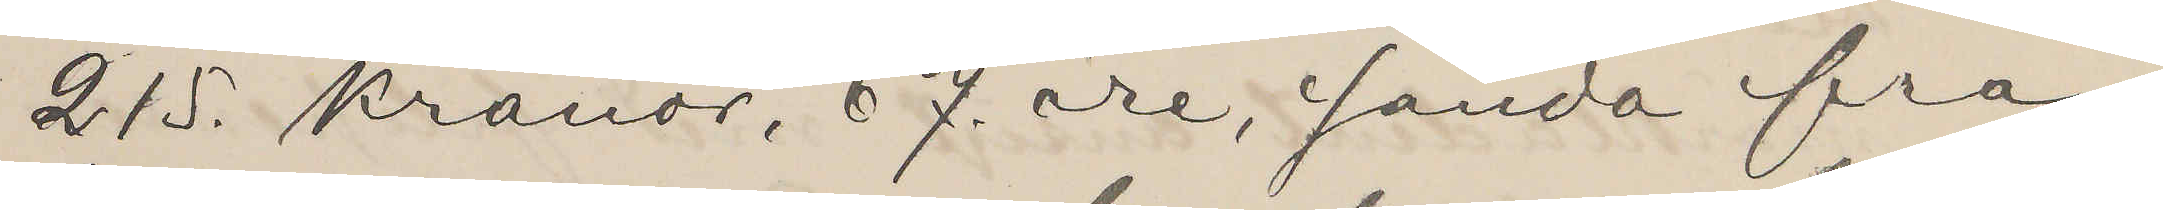215. kronor, 67 öre, sända från
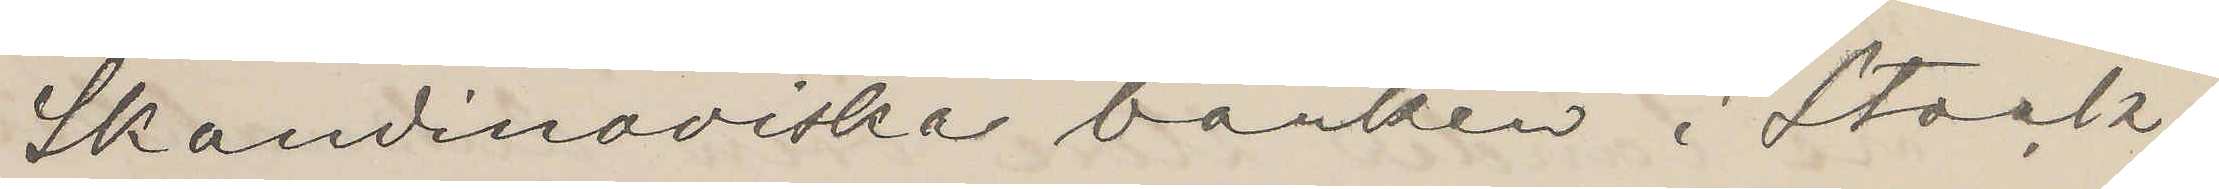Skandinaviska banken i Stock¬
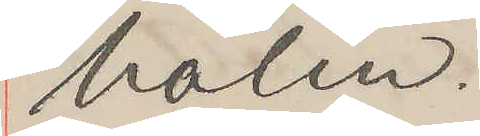holm.
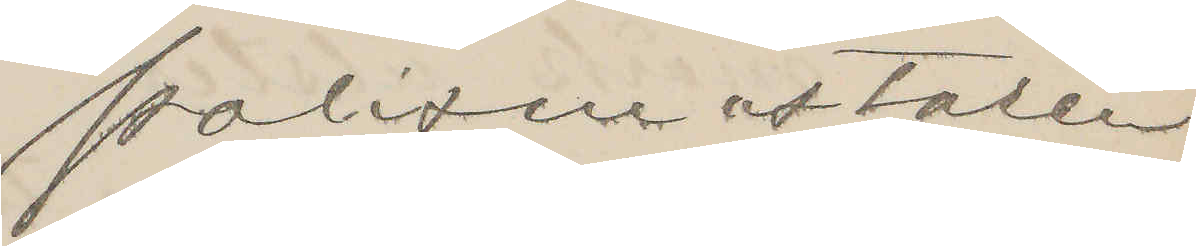Polismästaren
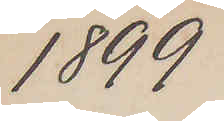1899
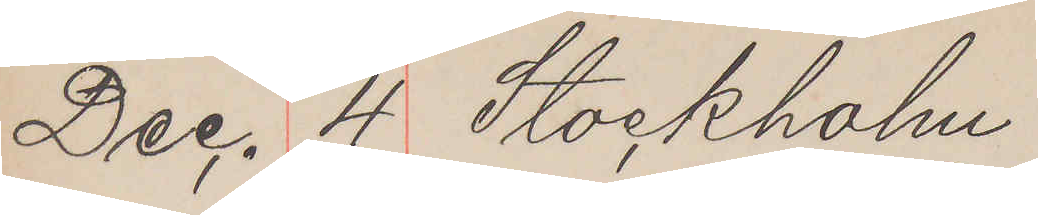Dec. 4 Stockholm
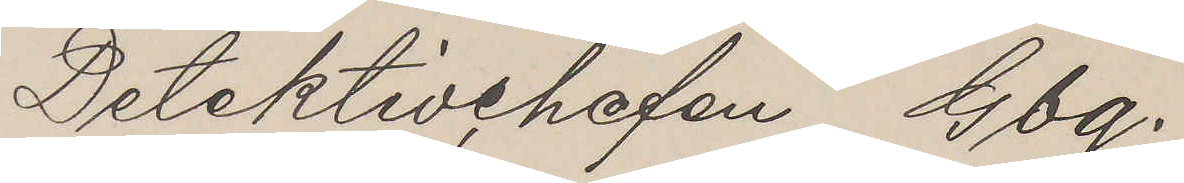Detektivchefen Gbg.
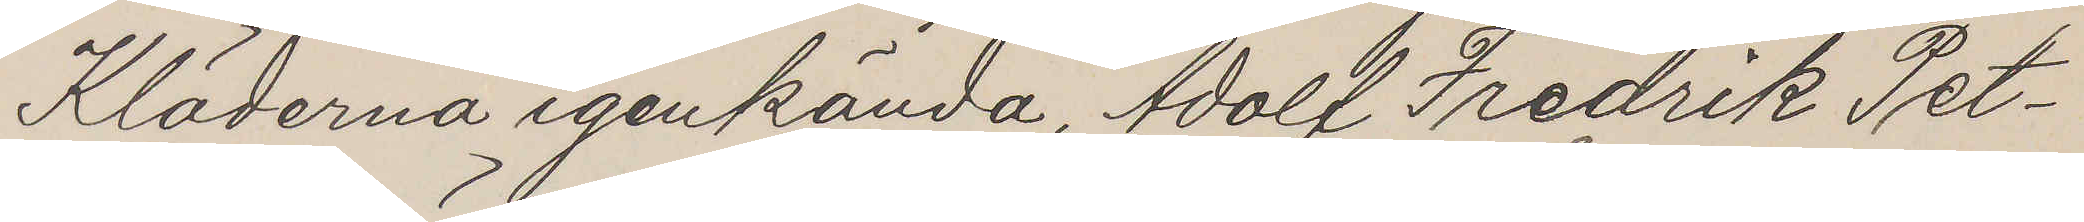Kläderna igenkända, Adolf Fredrik Pet¬
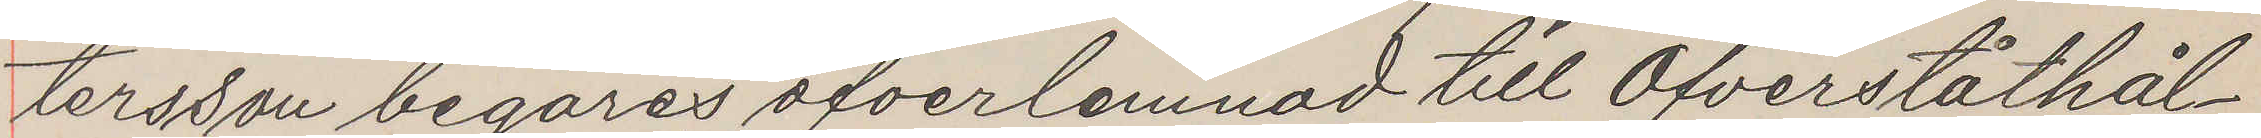tersson begäres öfverlemnad till Öfverståthål¬
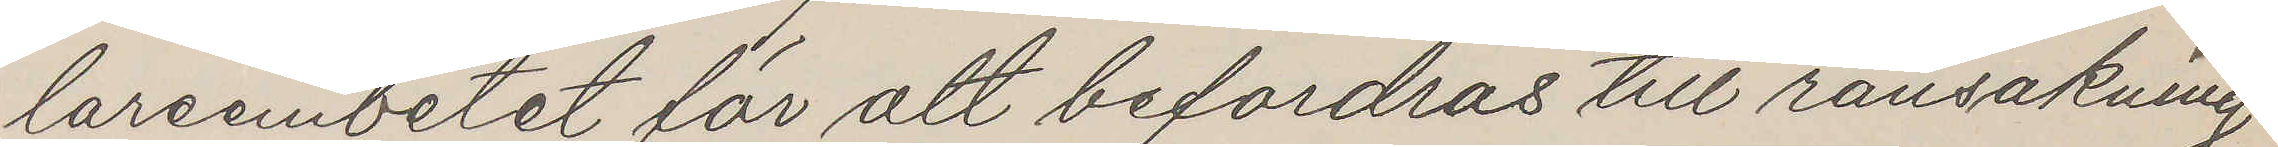lareembetet för att befordras till ransakning
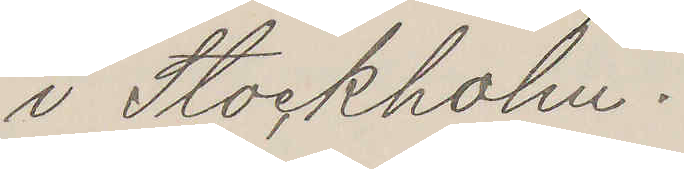i Stockholm.
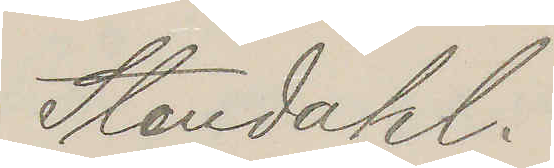Stendahl.
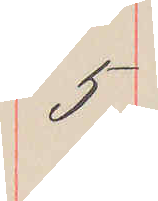5
